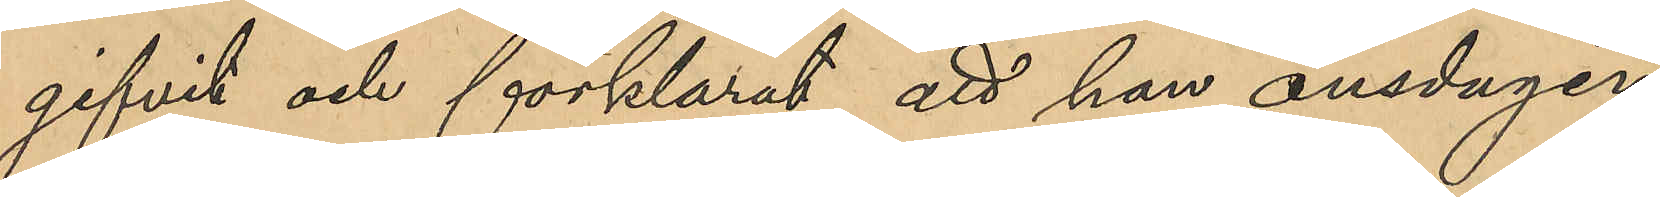gifvit och förklarat, att han onsdagen
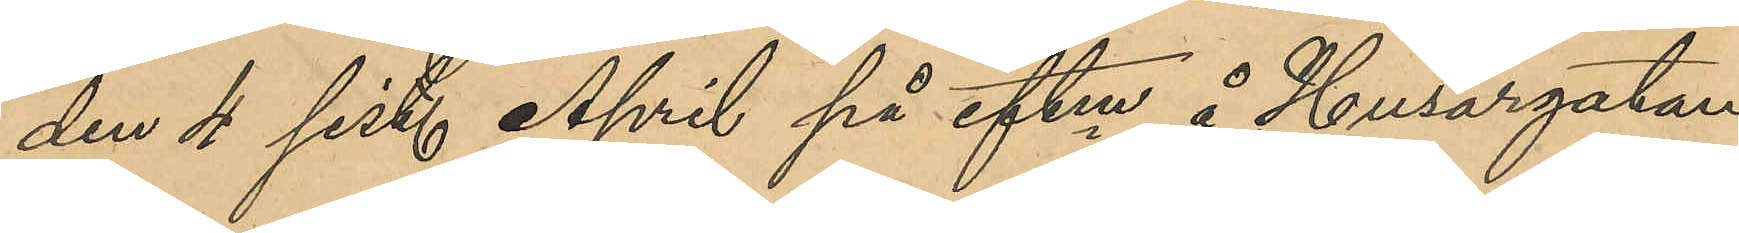den 4 sist. April på eftm å Husargatan
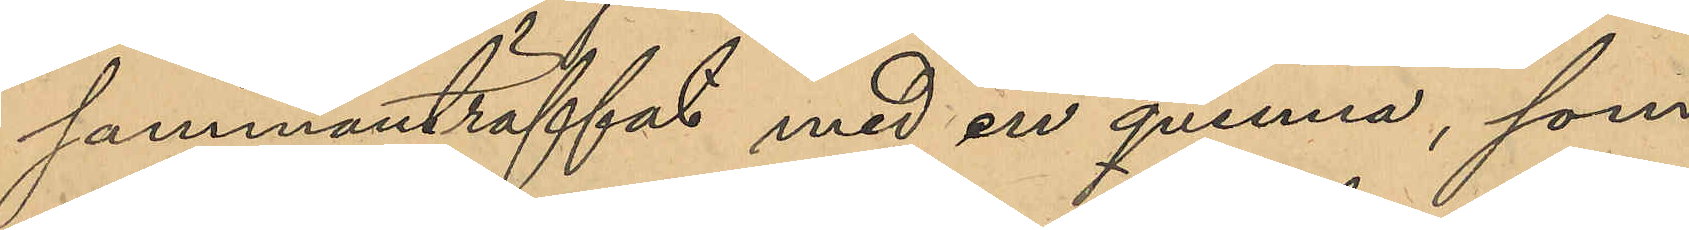sammanträffat med en qvinna, som
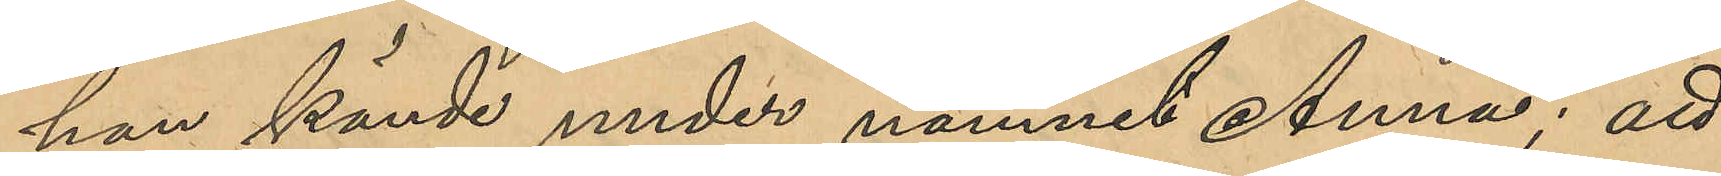han kände under namnet Anna; att
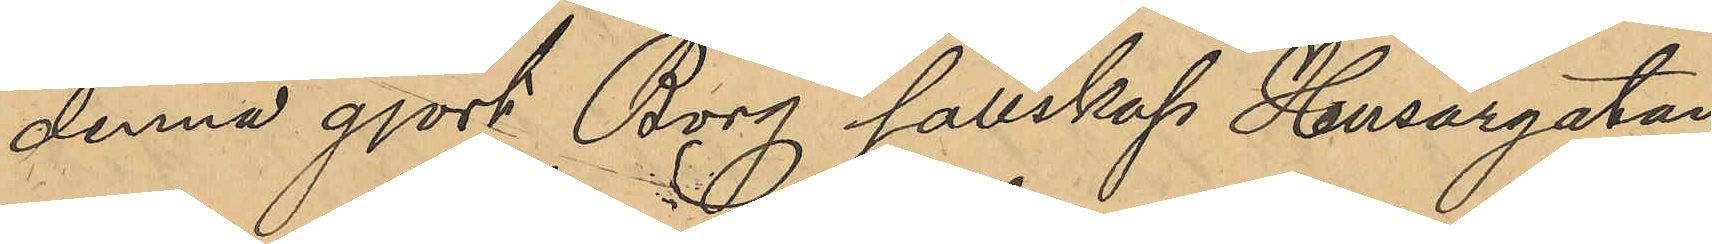denne gjort Borg sällskap Husargatan
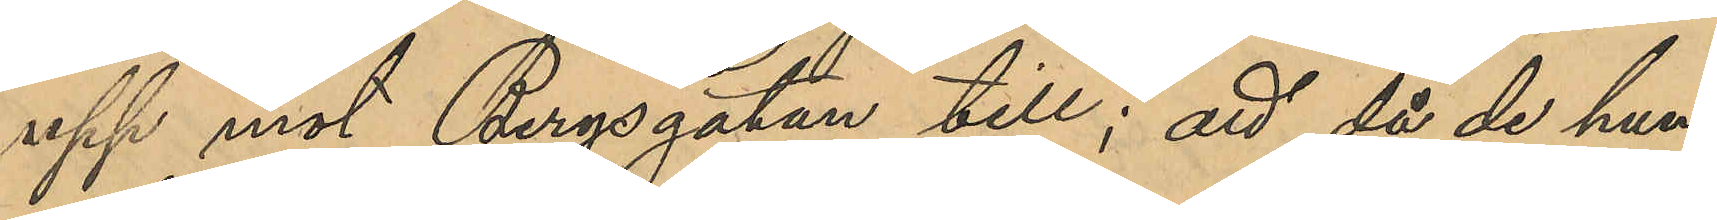upp mot Bergsgatan till; att då de hun¬
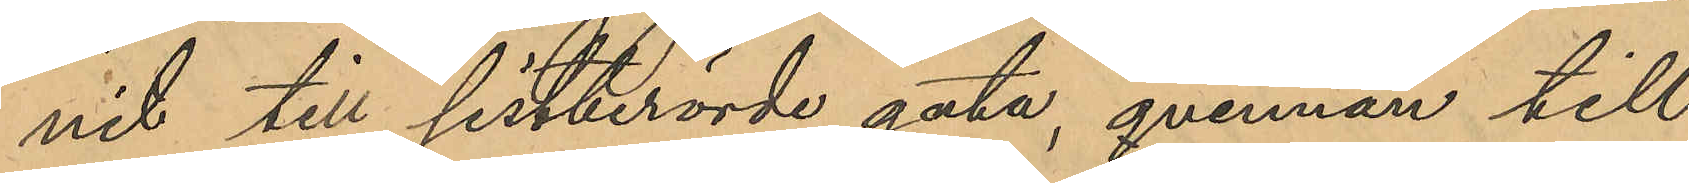nit till sistberörde gata, qvinnan till
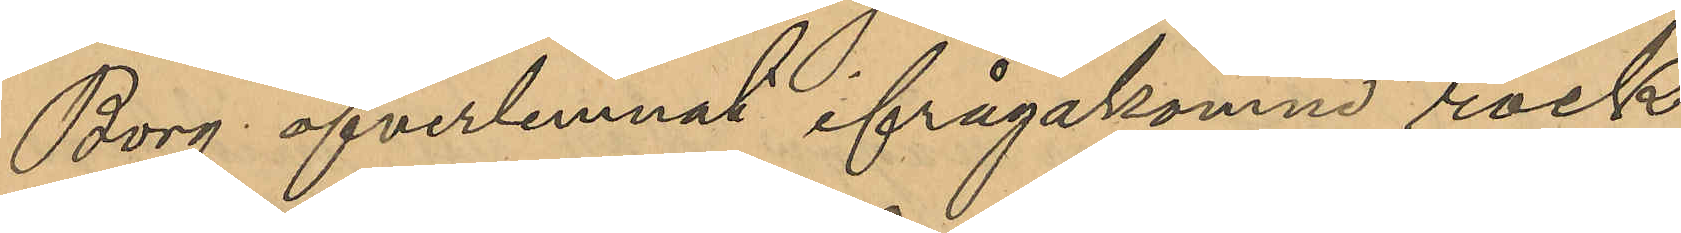Borg öfverlemnat ifrågakomne rock
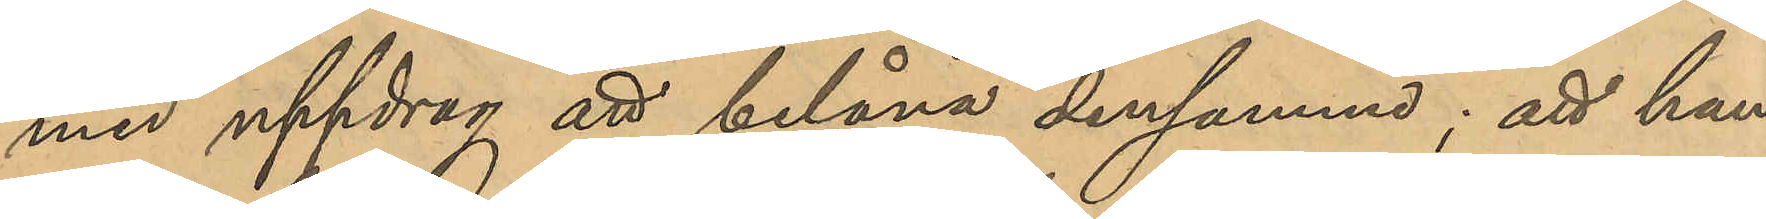med uppdrag att belåna densamma; att han
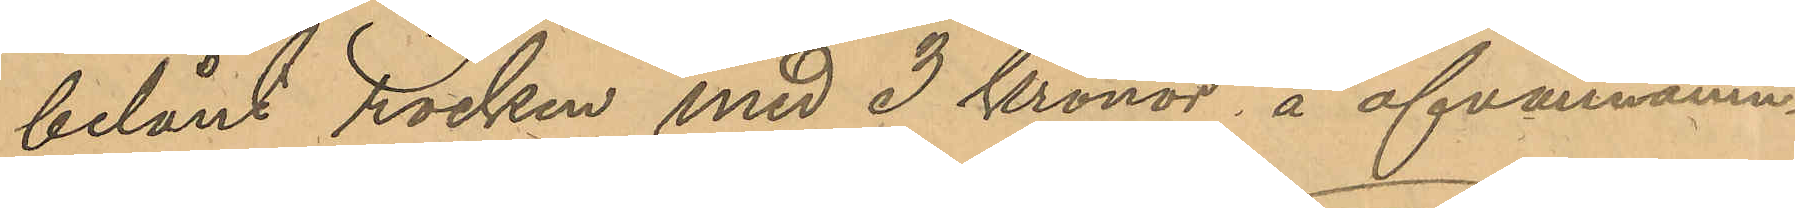belånt rocken med 3 Kronor i ofvannämn¬
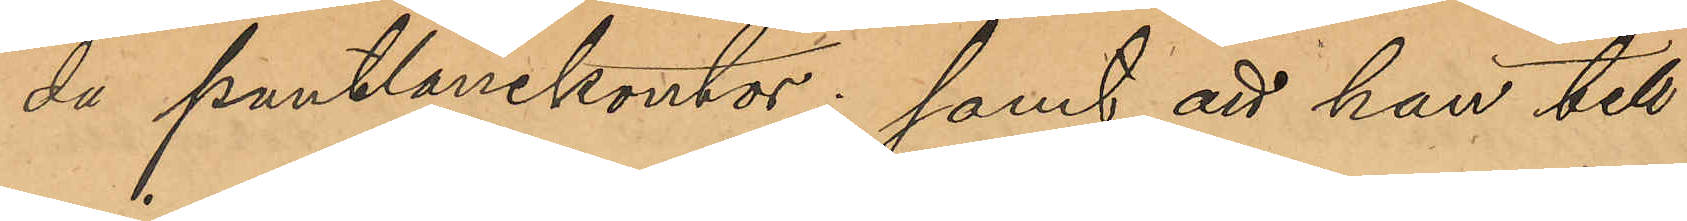da pantlånekontor; samt att han till
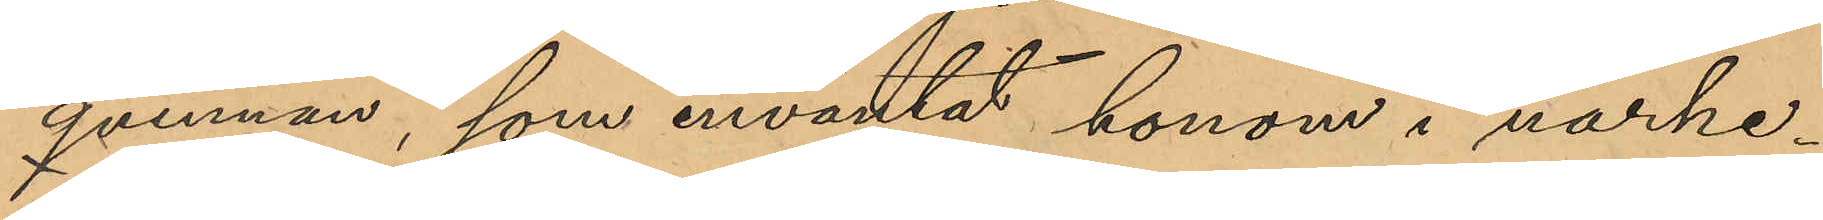qvinnan, som inväntat honom i närhe¬
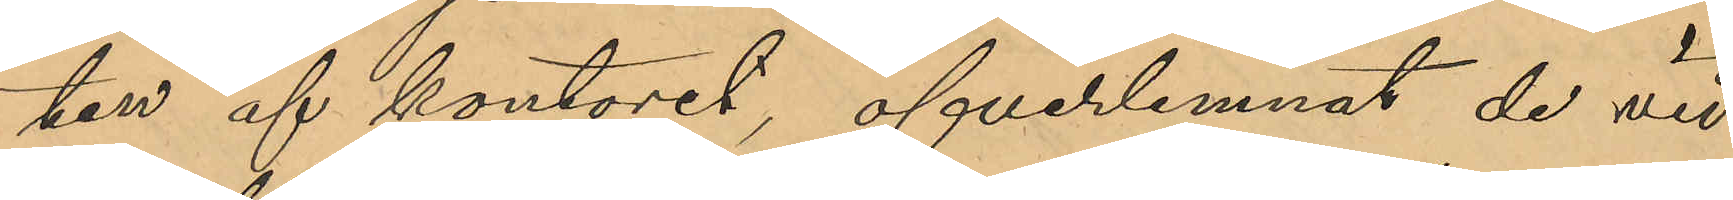ten af kontoret, öfverlemnat de vid
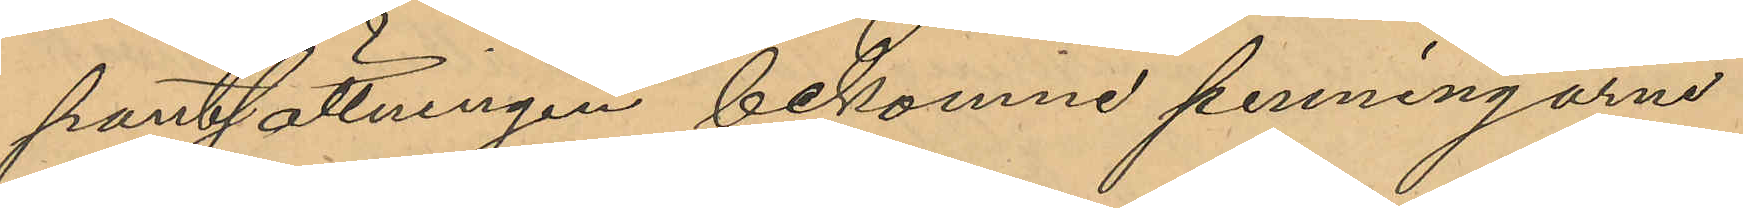pantlåningen bekomne penningarne
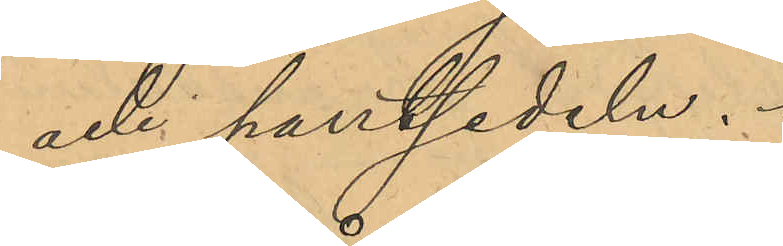och pantsedeln.
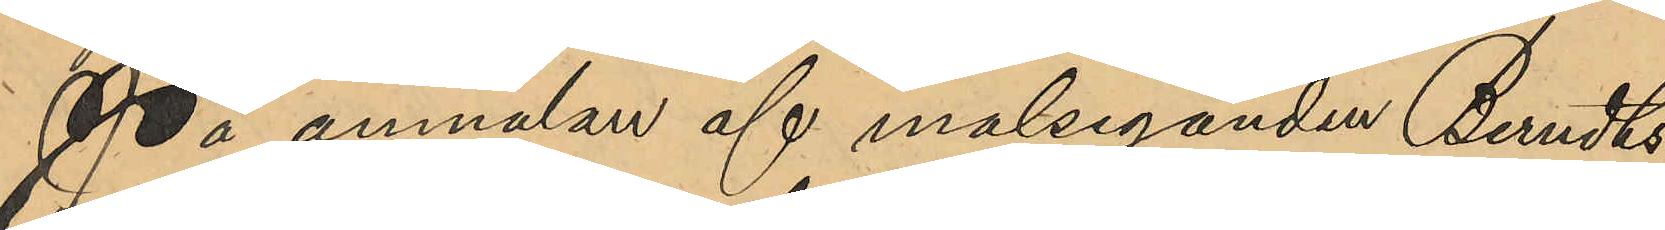På anmälan af målseganden Berndts¬
